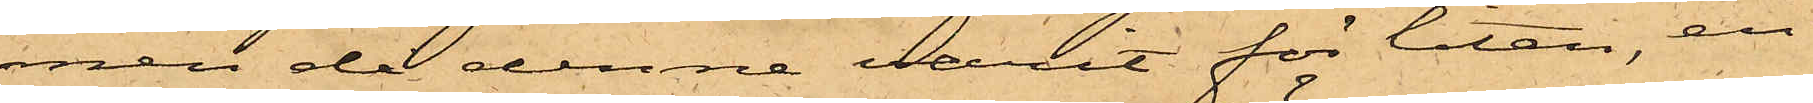men då denne varit för liten, en
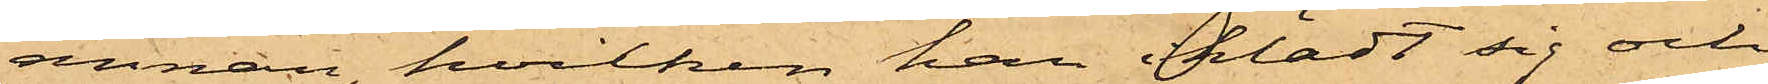annan, hvilken han iklädt sig och
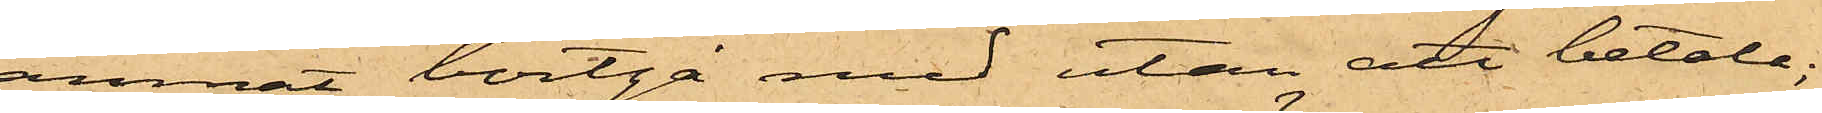ämnat bortgå med utan att betala;
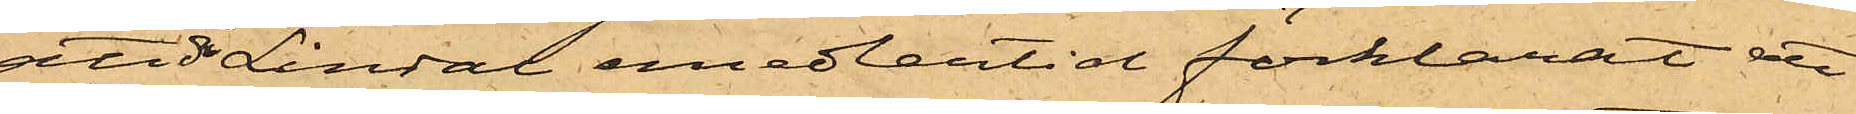att då Lindal emedlertid förklarat att
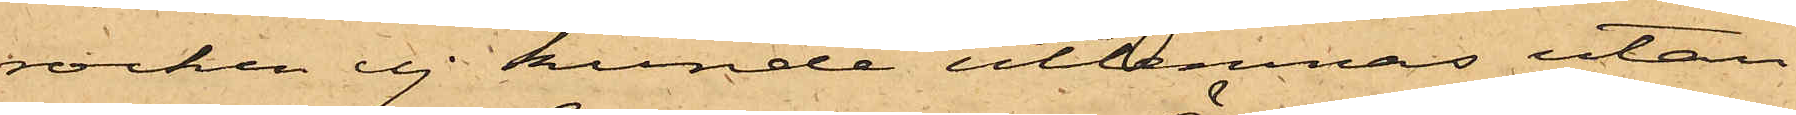rocken ej kunde utlemnas utan
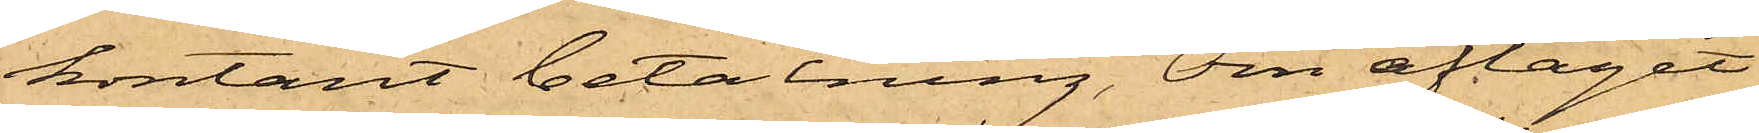kontant betalning, Örn aftagit
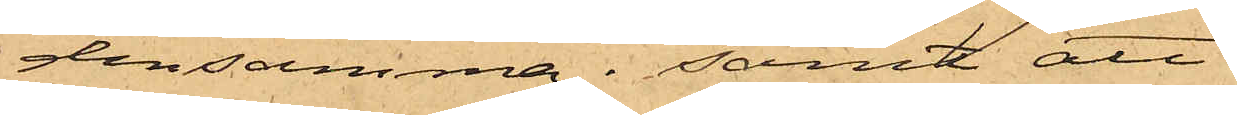densamma; samt att
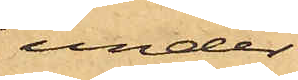under
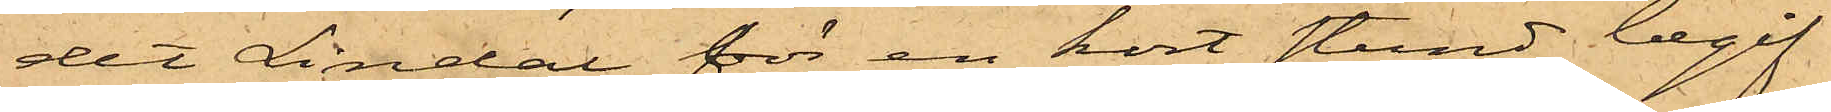det Lindal för en kort stund begif¬
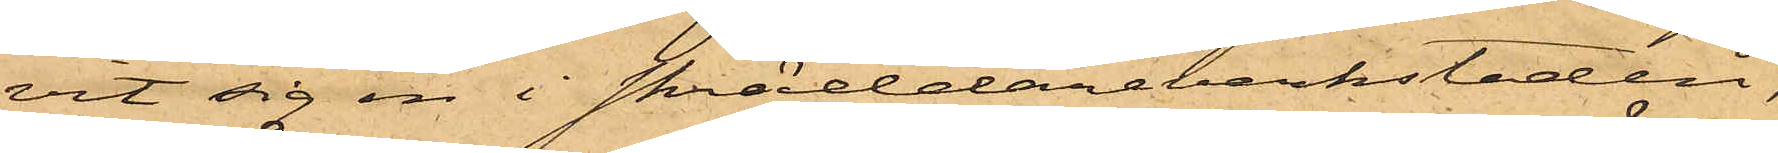vit sig in i skräddareverkstaden,
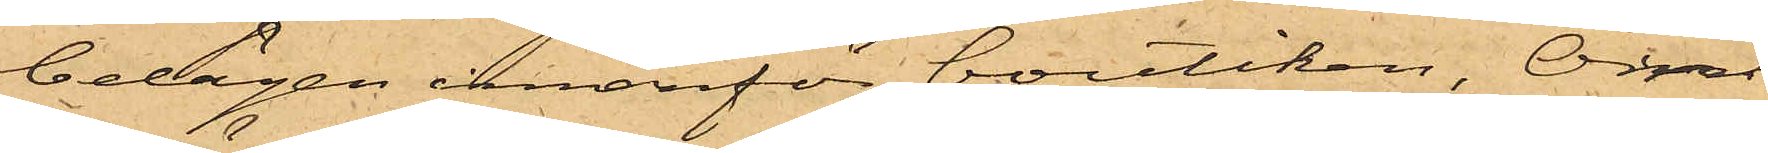belägen innanför boutiken, Örn
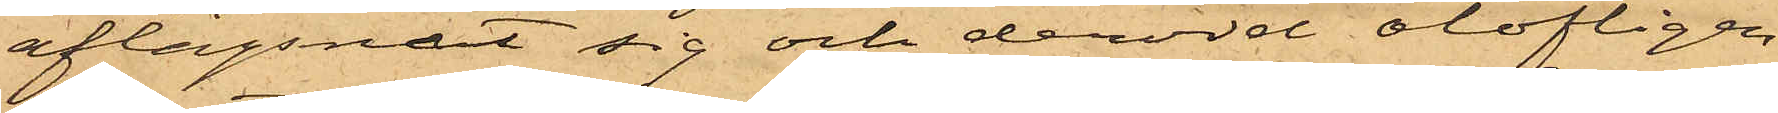aflägsnat sig och dervid olofligen
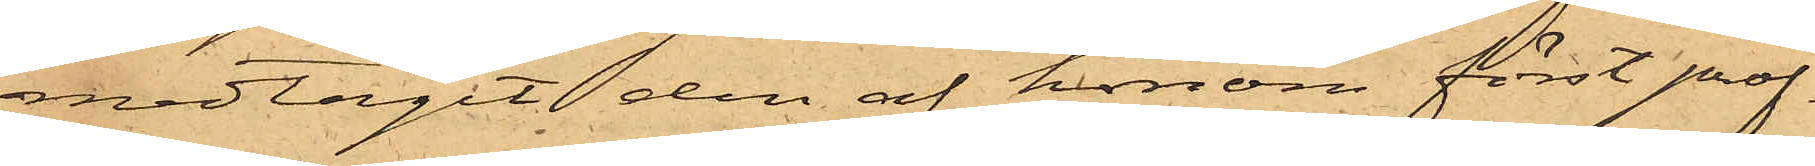medtagit den af honom först prof¬
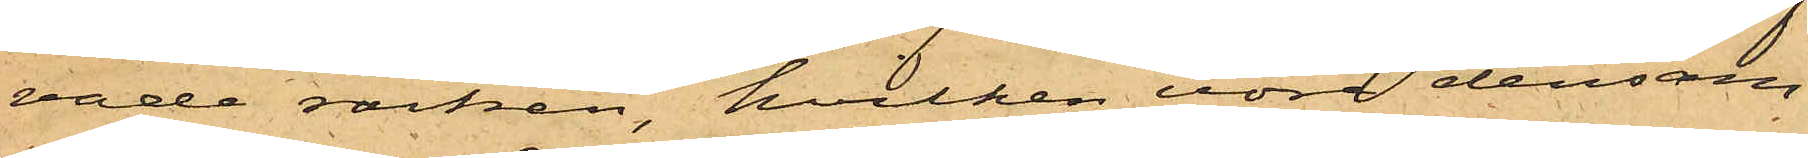vade rocken, hvilken vore densam¬
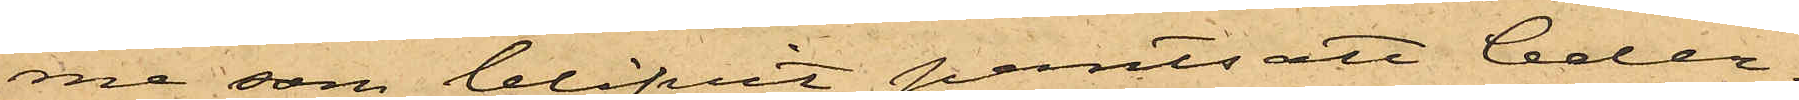me som blifvit pantsatt Ceder¬
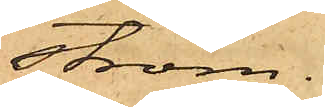ström.
